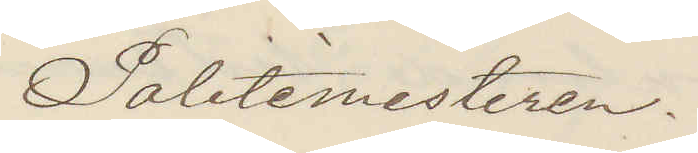Politemesteren.
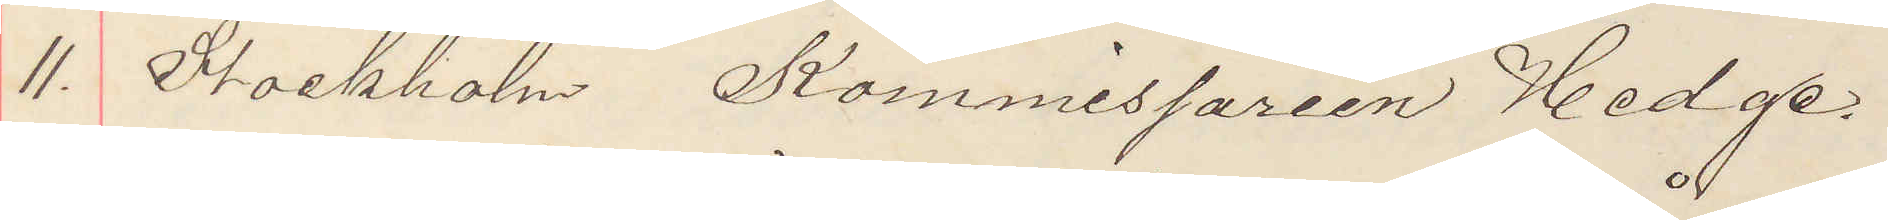11. Stockholm, Kommissarien Hedge.
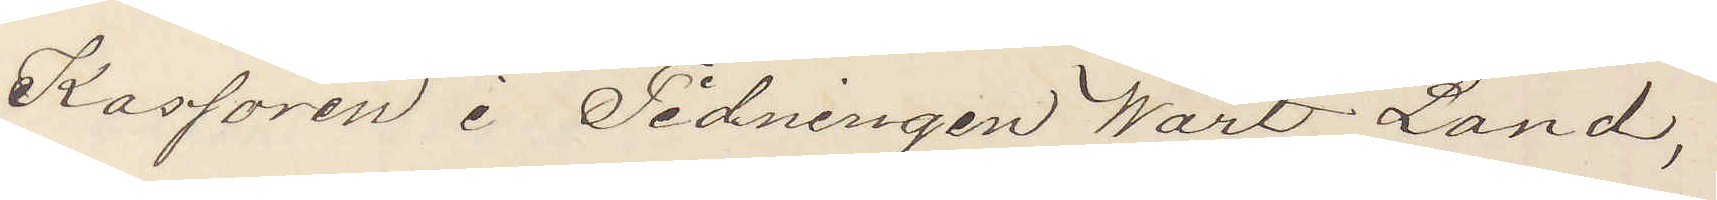Kassören i Tidningen Wårt Land,
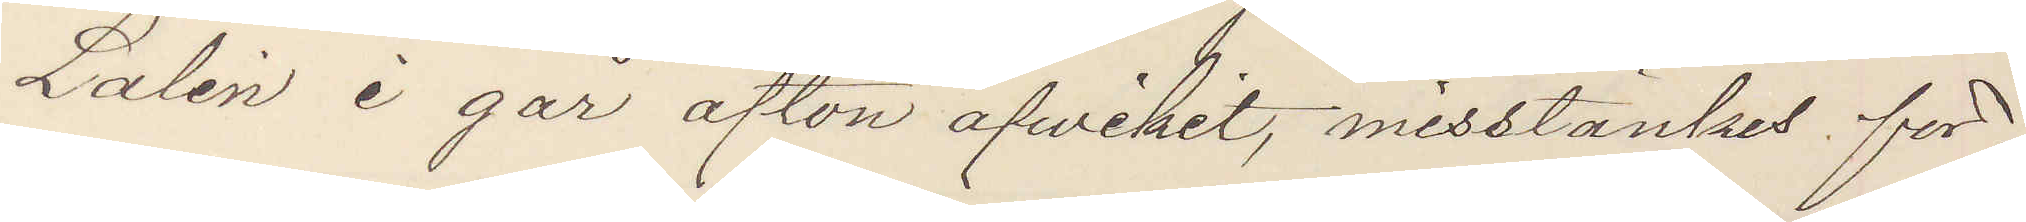Lalén i går afton afvikit, misstänkes för¬
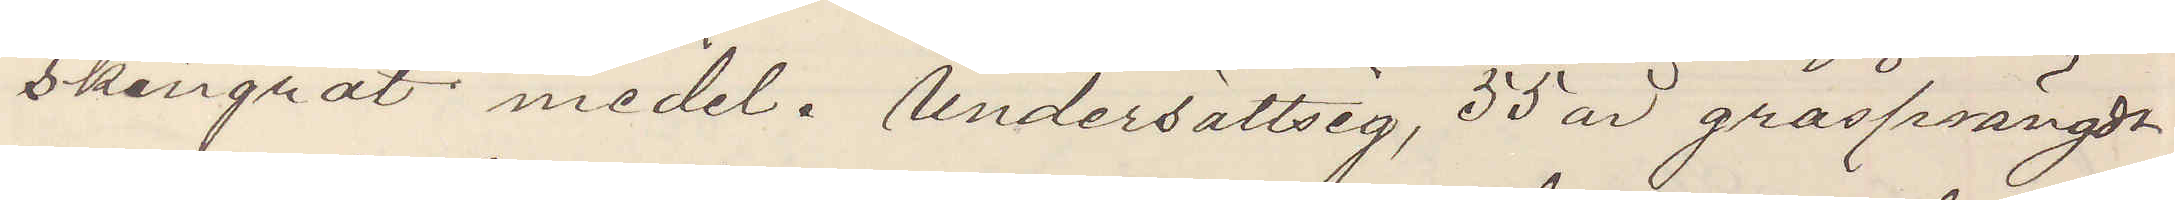skingrat medel. Undersättsig, 55 är gråsprängdt
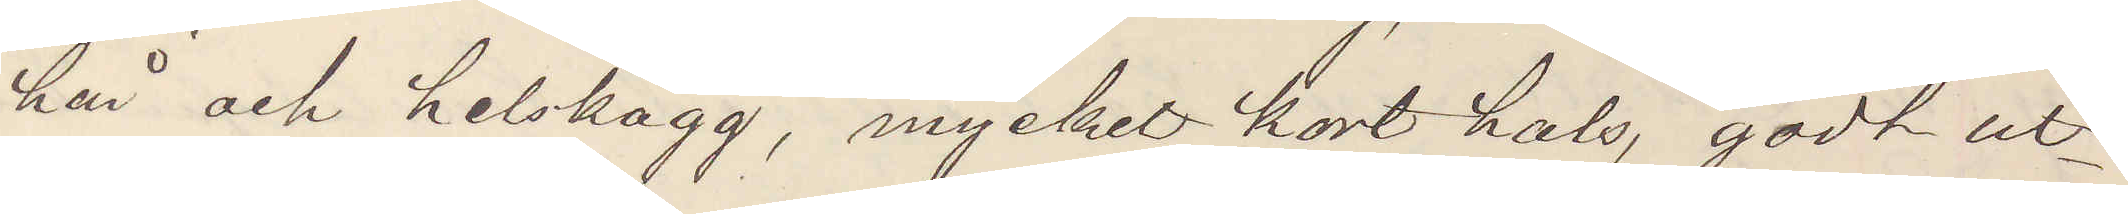hår och helskägg, myckel kort hals, godt ut¬
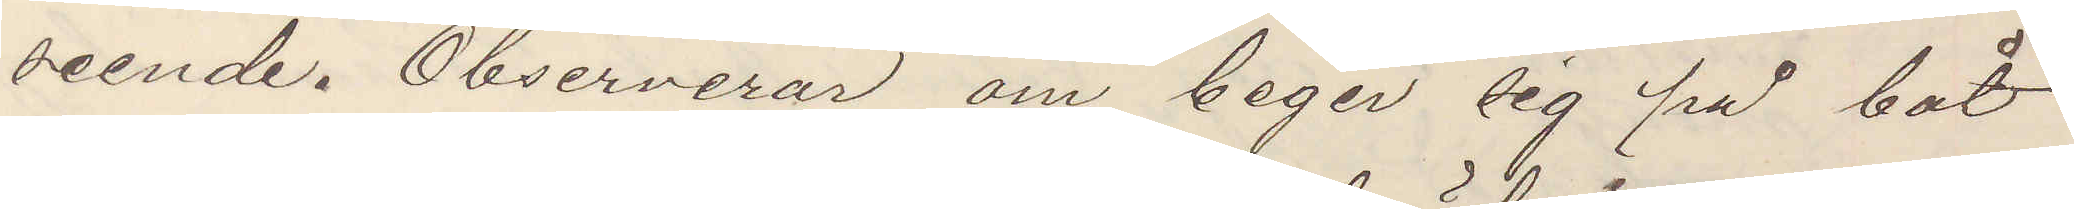seende. Observerar om beger sig på båt
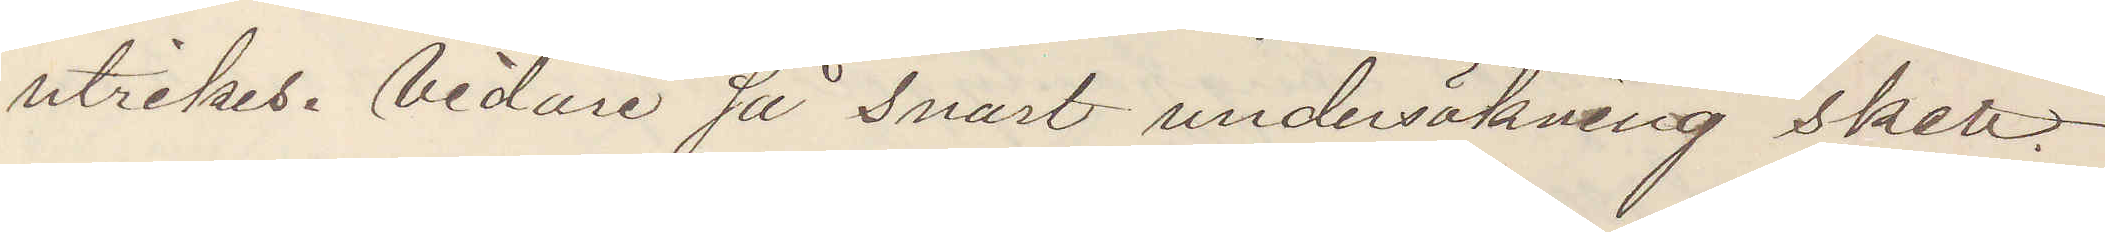utrikes. Vidare så snart undersökning skett.
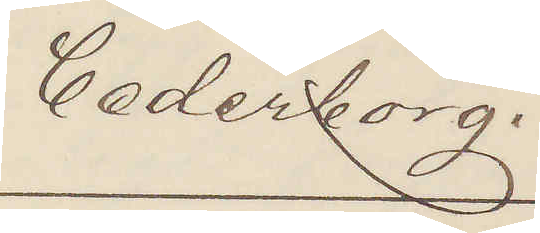Cederborg.
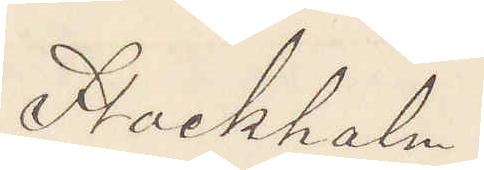Stockholm
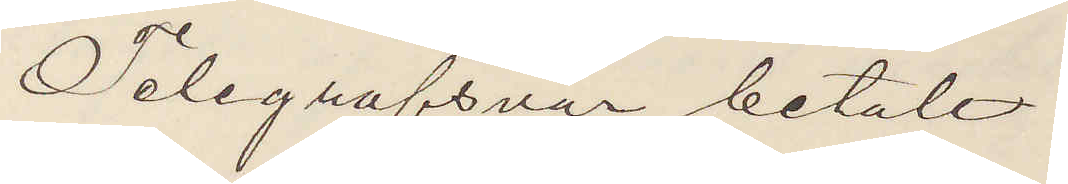Telegrafsvar betalt
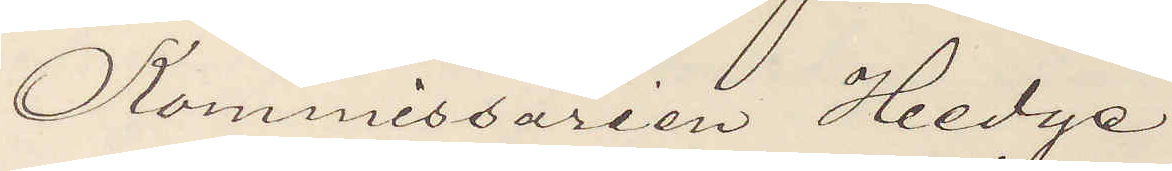Kommissarien Hedge
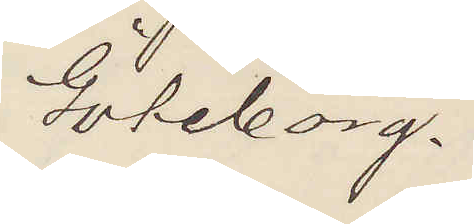Göteborg.
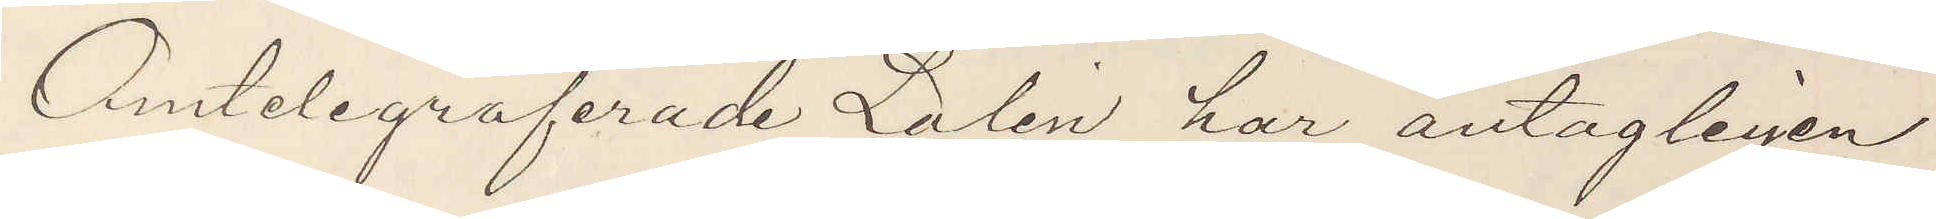Omtelegraferade Lalén har antagligen
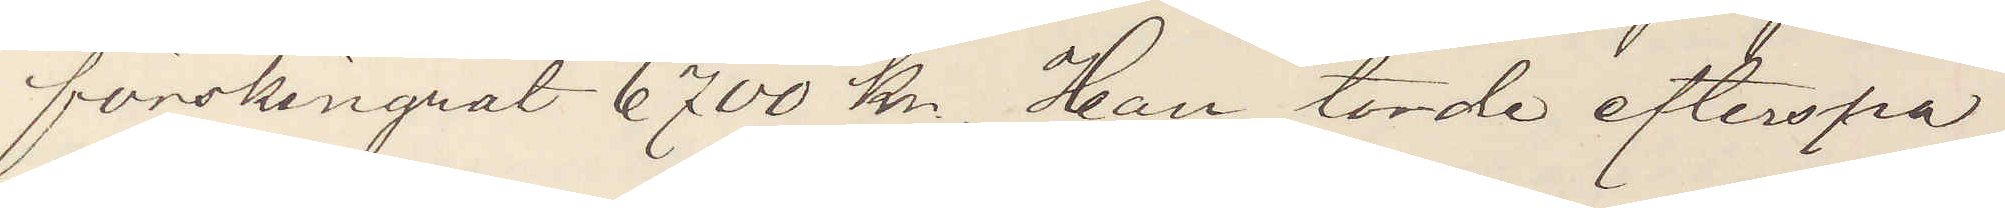förskingrat 6700 kr, Han torde efterspa¬
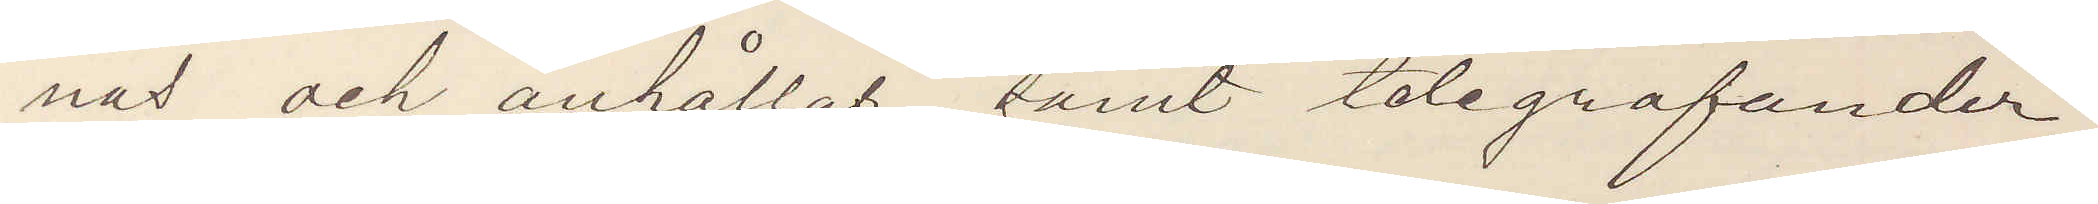nas och anhållas samt telegrafunder¬
